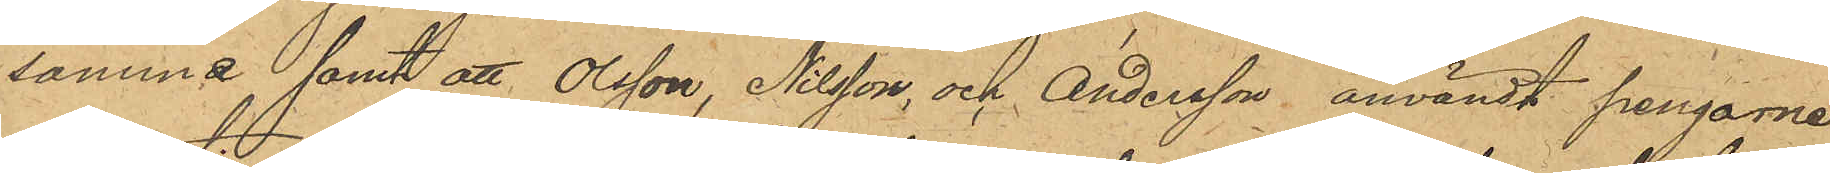samma samt att Olsson, Nilsson, och Andersson användt pengarne
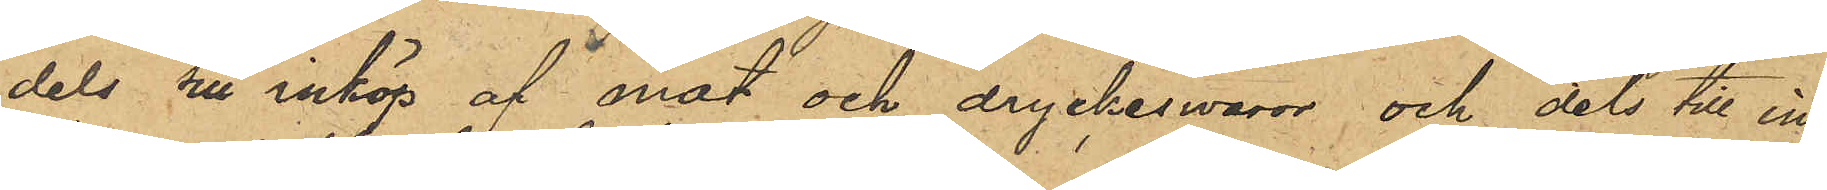dels till inköp af mat och dryckeswaror och dels till in¬
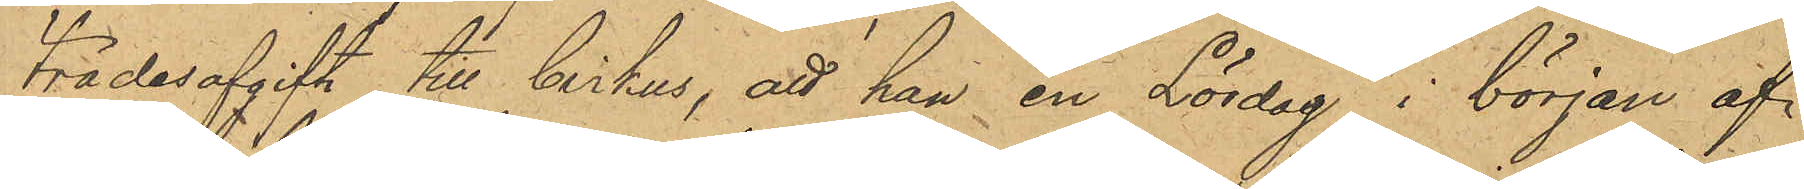trädesafgift till Cirkus, att han en Lördag i början af
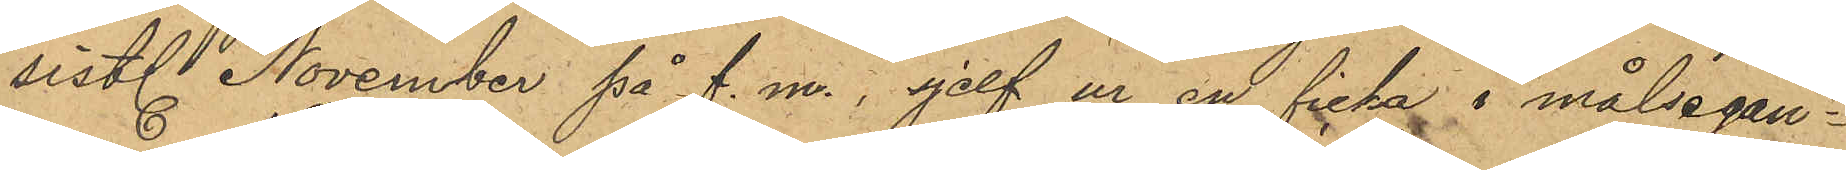sist. November på f. m., sjelf ur en ficka i målsegan¬
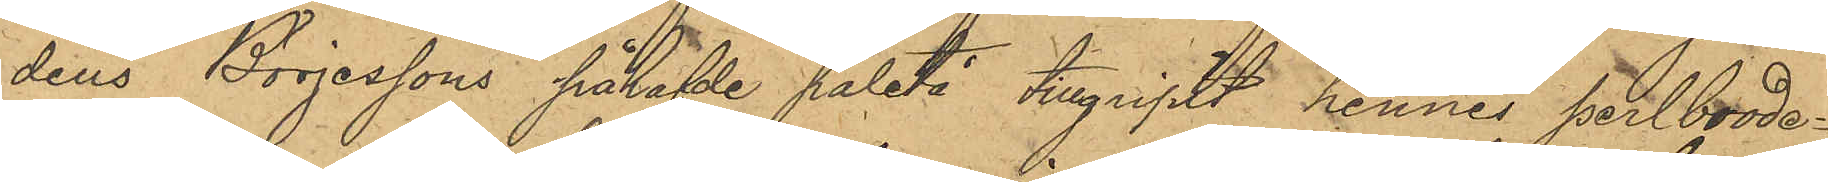dens Börjessons påhafde paletå tillgript hennes perlbrode¬
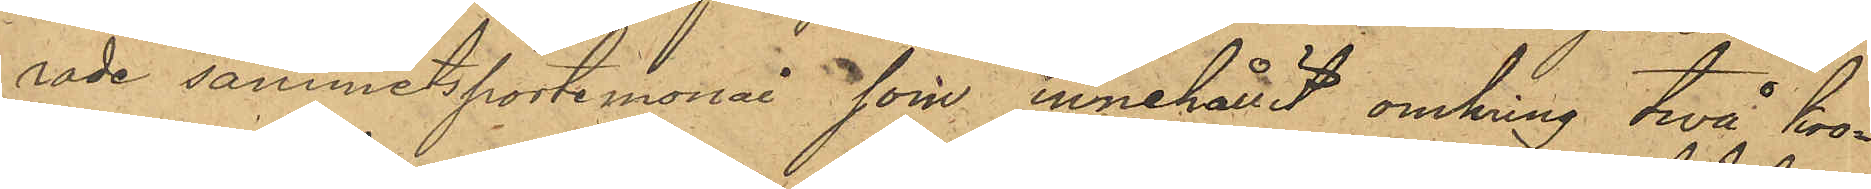rade sammetsportemonai, som innehållit omkring två kro¬
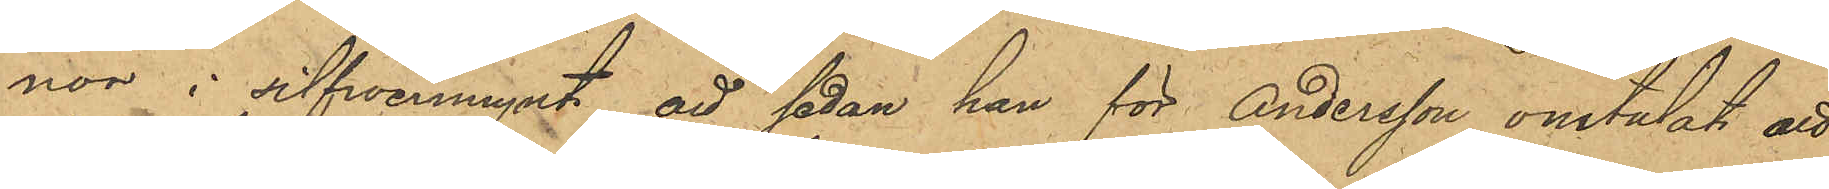nor i silfwermynt, att sedan han för Andersson omtalat att
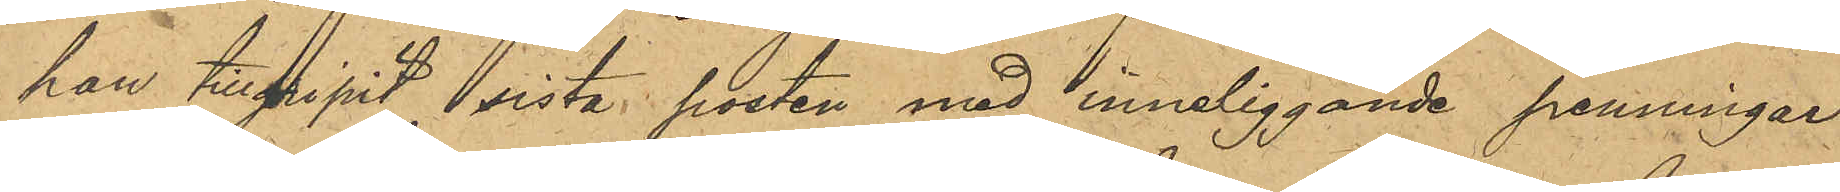han tillgripit sista posten med inneliggande penningar
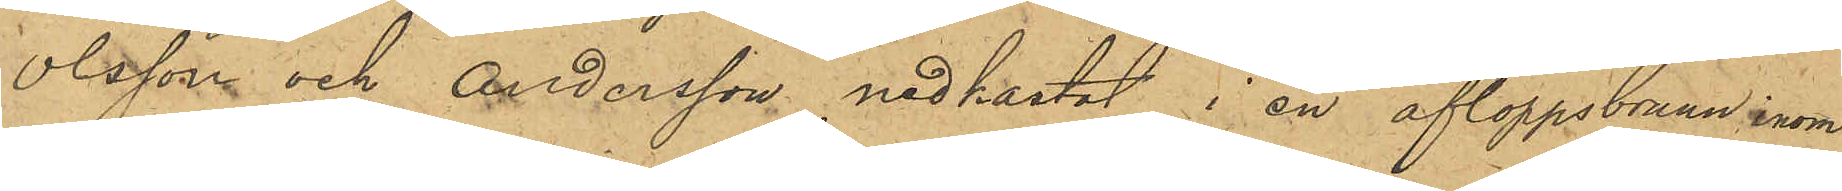Olsson och Andersson nedkastat i en afloppsbrunn inom
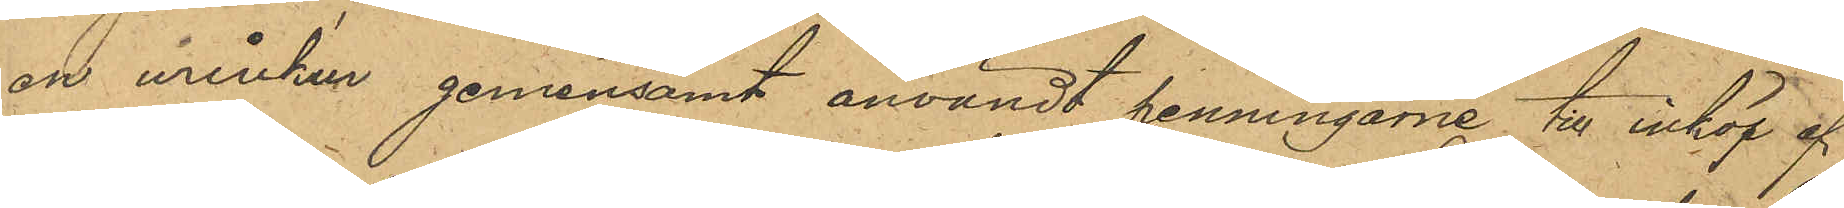en urinkur gemensamt användt penningarne till inköp af
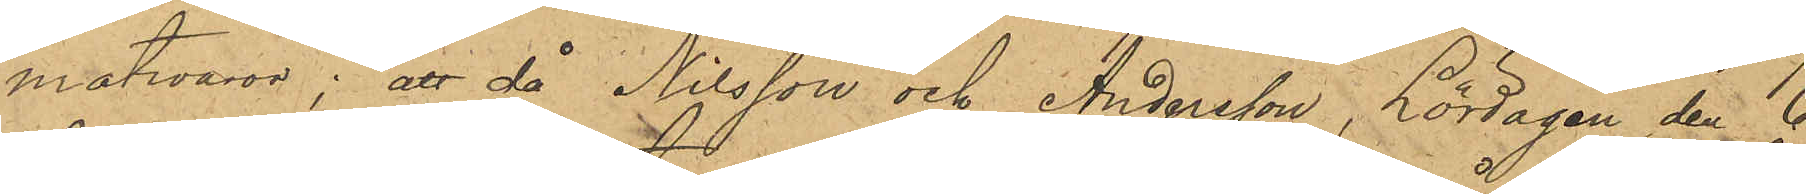matvaror; att då Nilsson och Andersson, Lördagen den 6
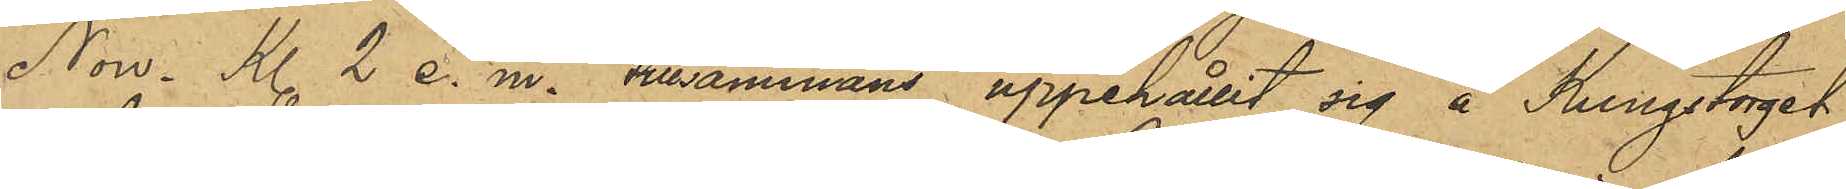Now. Kl. 2 e. m. tilsammans uppehållit sig å Kungstorget
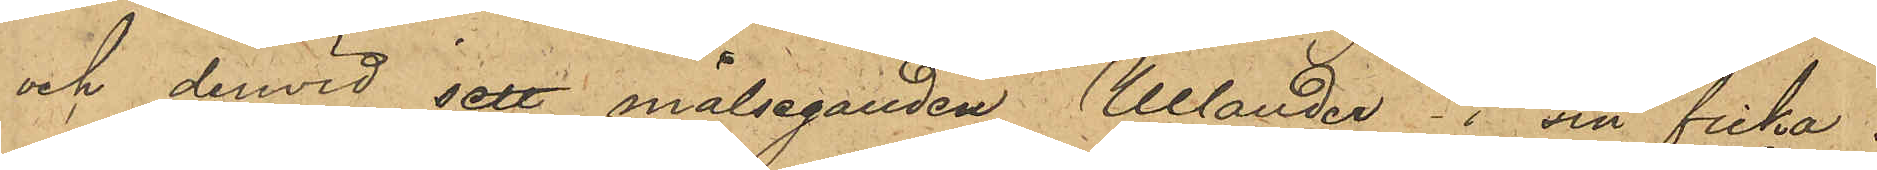och derwid sett målseganden Ullander i sin ficka
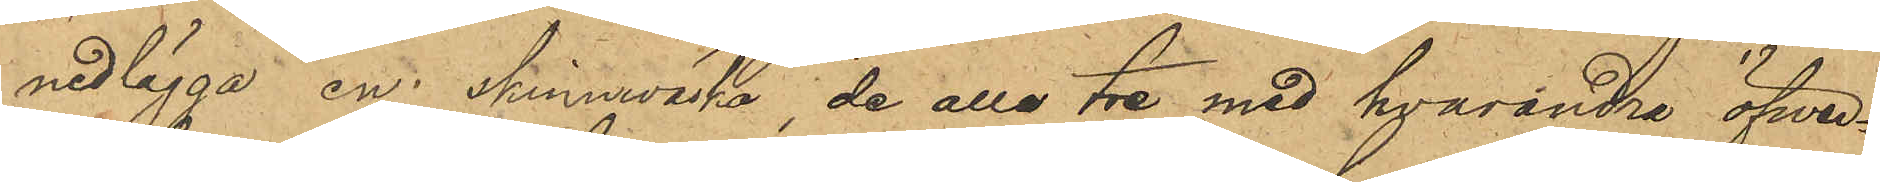nedlägga en skinnväska, de alla tre med hvarandra öfwer¬
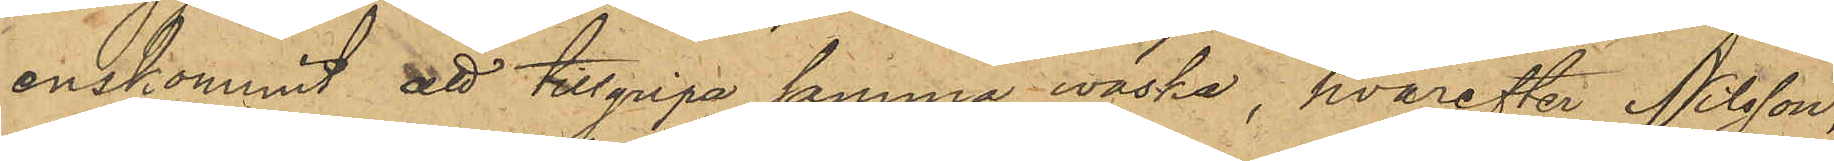enskommit att tillgripa samma väska, hvarefter Nilsson,
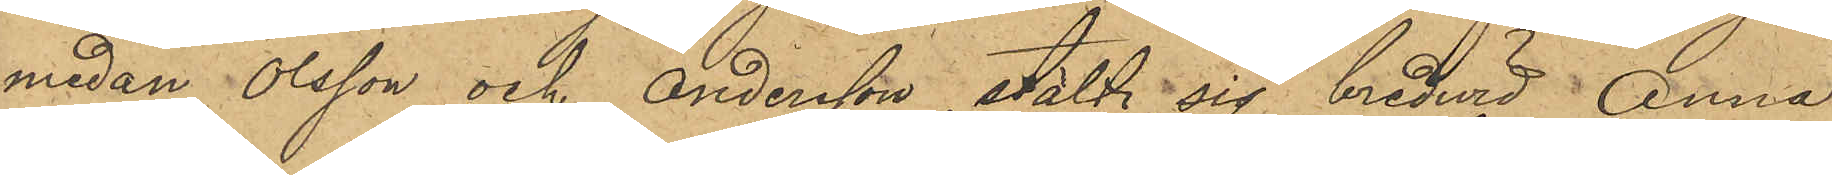medan Olsson och Andersson stält sig bredwid Anna
